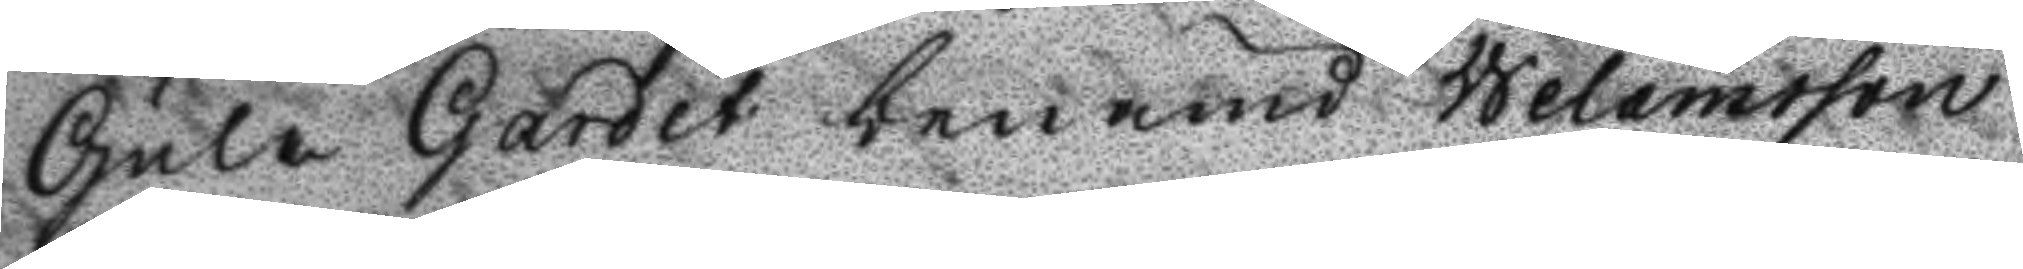Gula Galdet benämd Welamsson
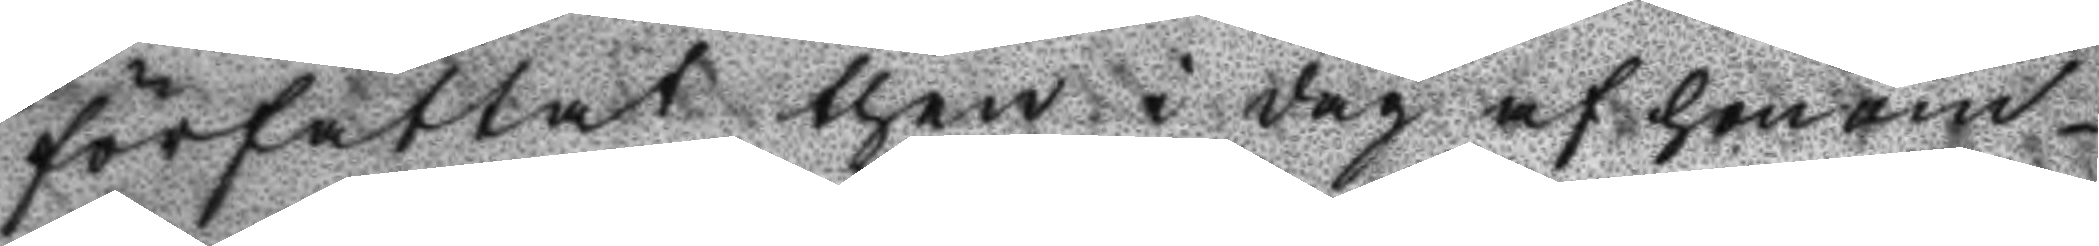författat then i dag af honom
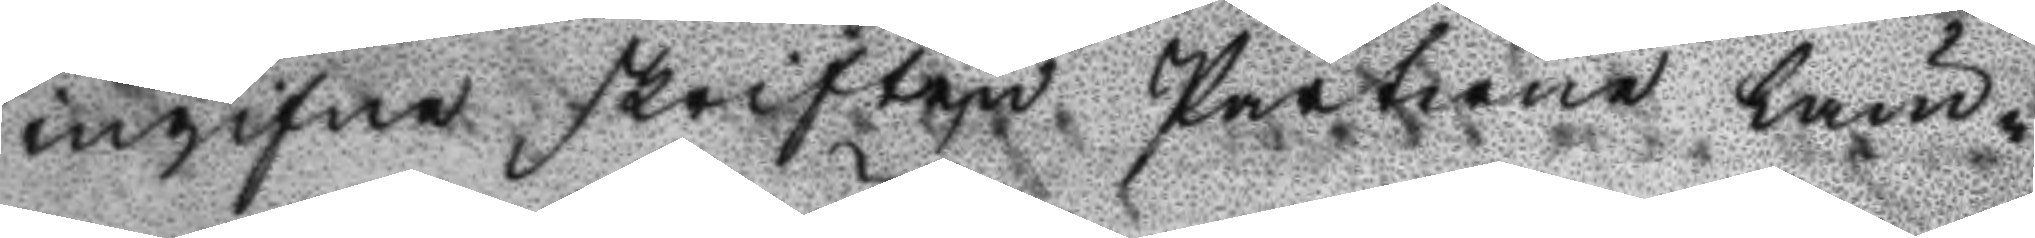ingifne skriften Parterne läm¬
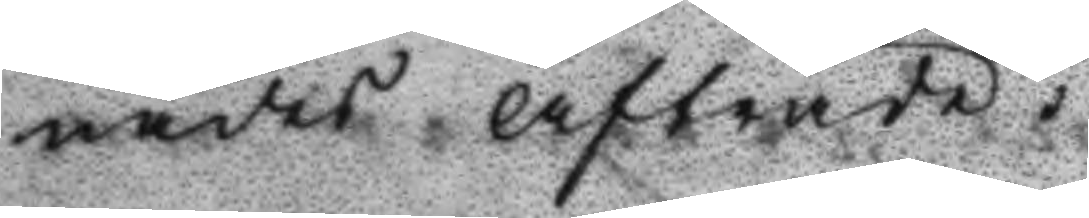nades Afträde:
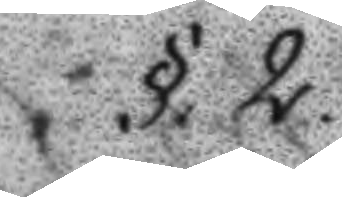§. 2.
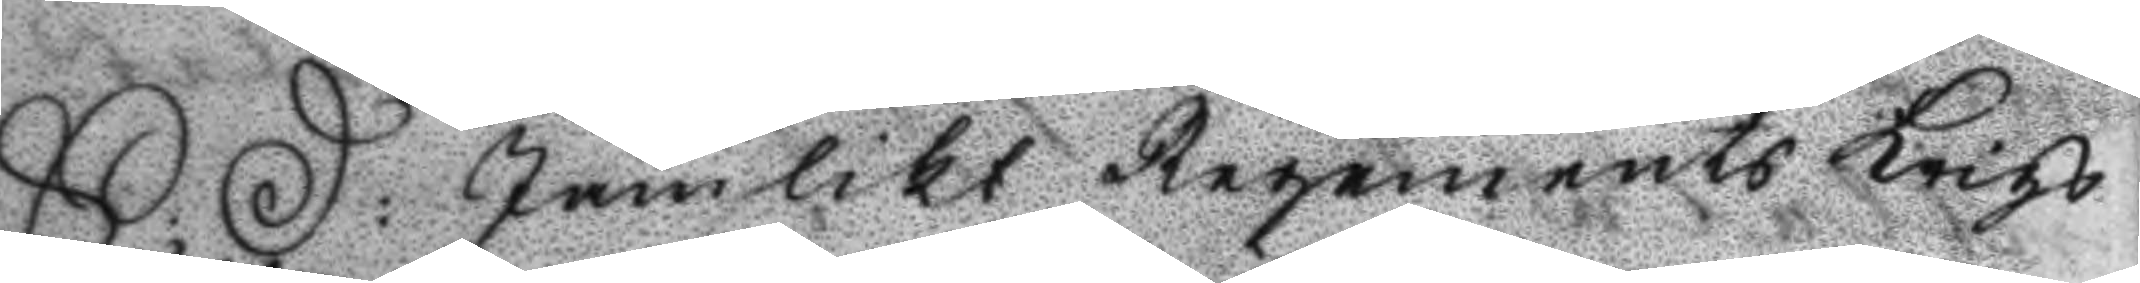S: D: Jämlikt Regements Krigs
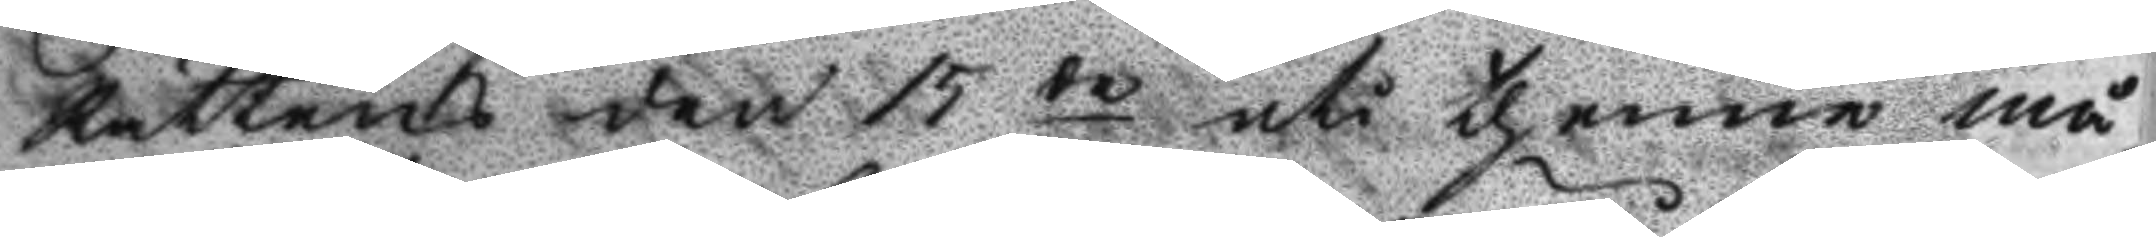Rättens den 15 de uti thenne må¬
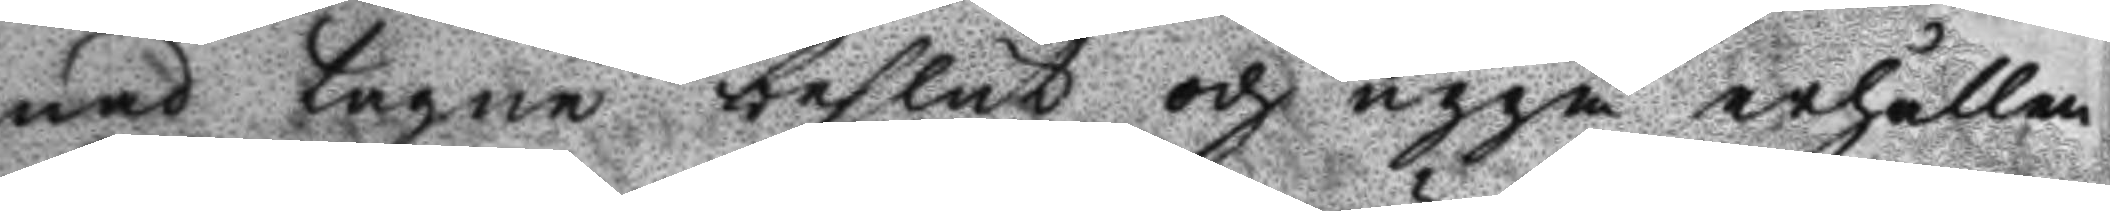nad tagne beslut och uppå erhållen
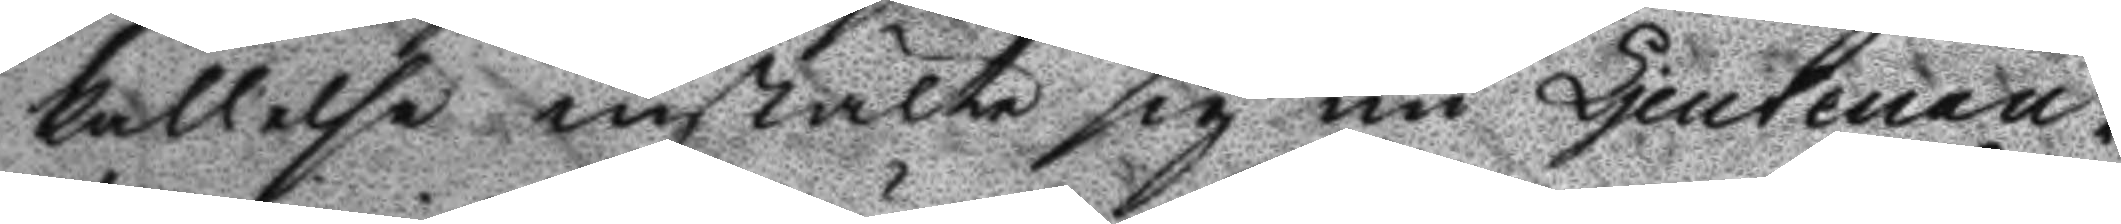kallelse instälte sig nu Ljeutenan¬
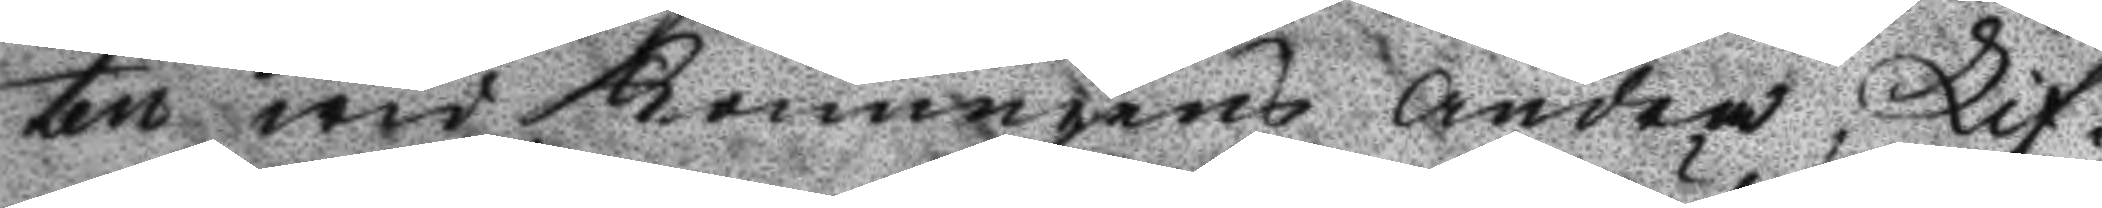ten wid Konungens Andra Lif¬
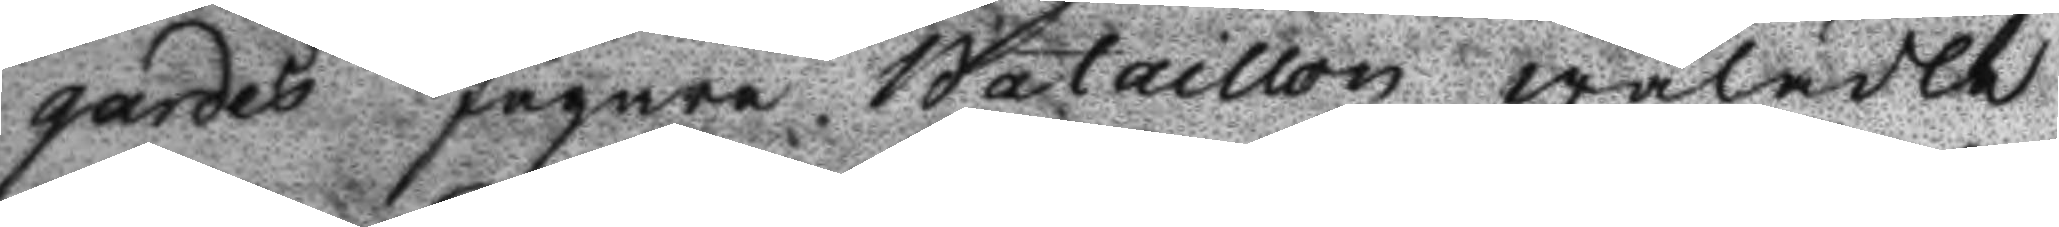gardes Jägare Bataillon wälädle
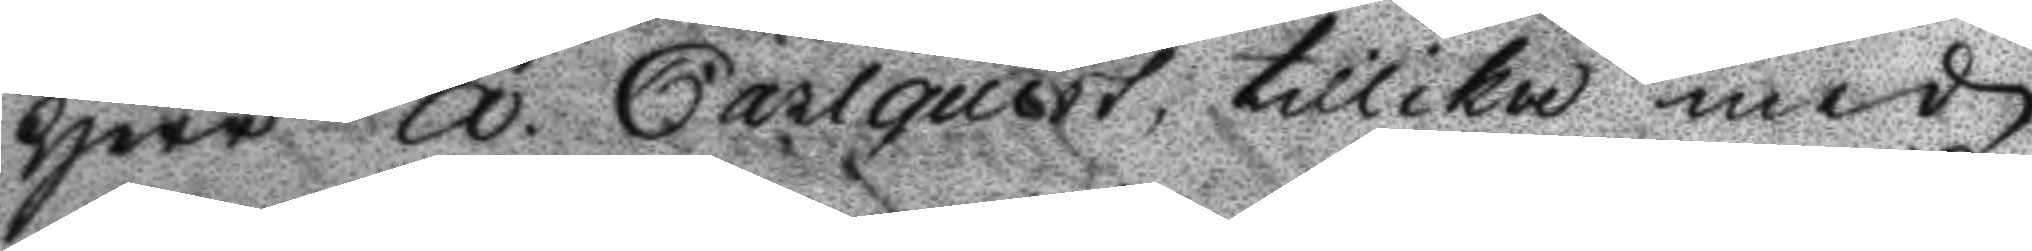Herr A. Carlquist, tillika med
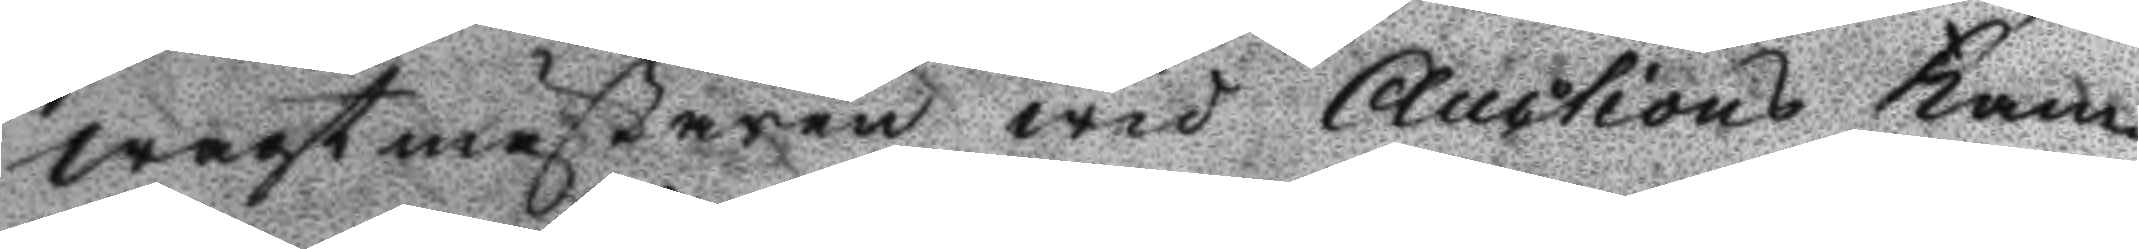wagtmästaren wid Auctions Kam¬
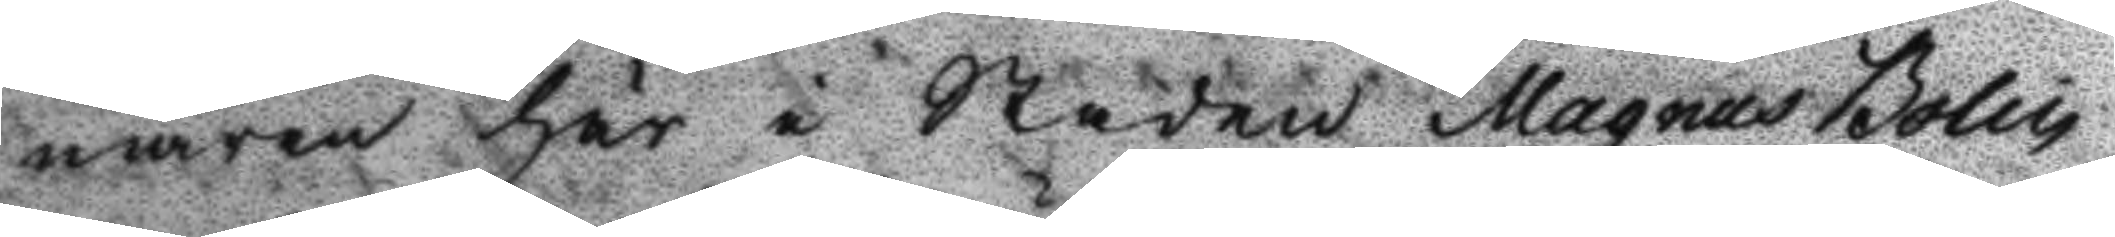maren här i Staden Magnus Bolin
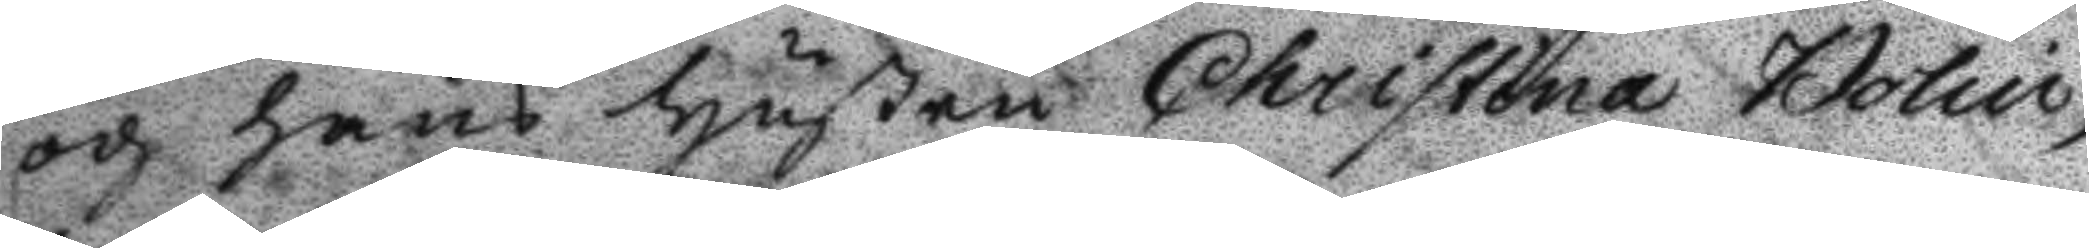och hans Hustru Christina Bolin,
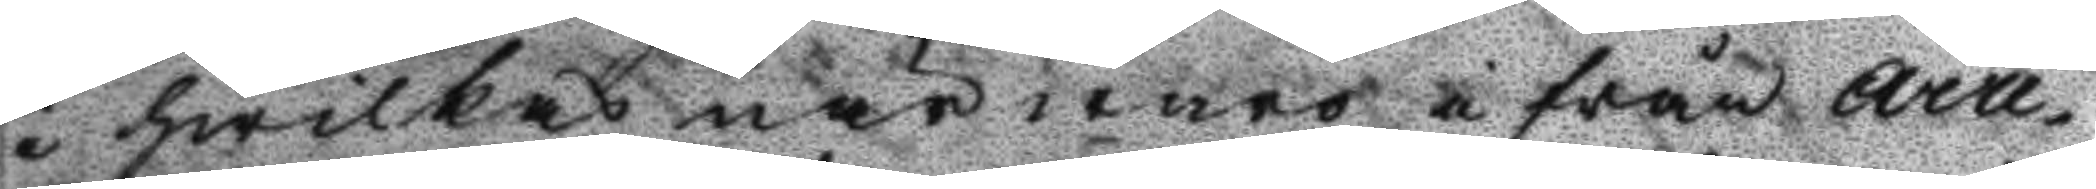i hwilkas närwaro i från Arre¬
